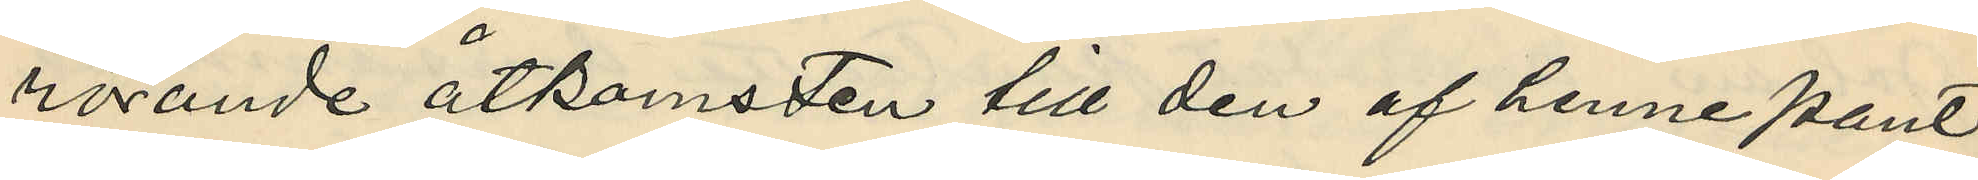rörande åtkomsten till den af henne pant¬
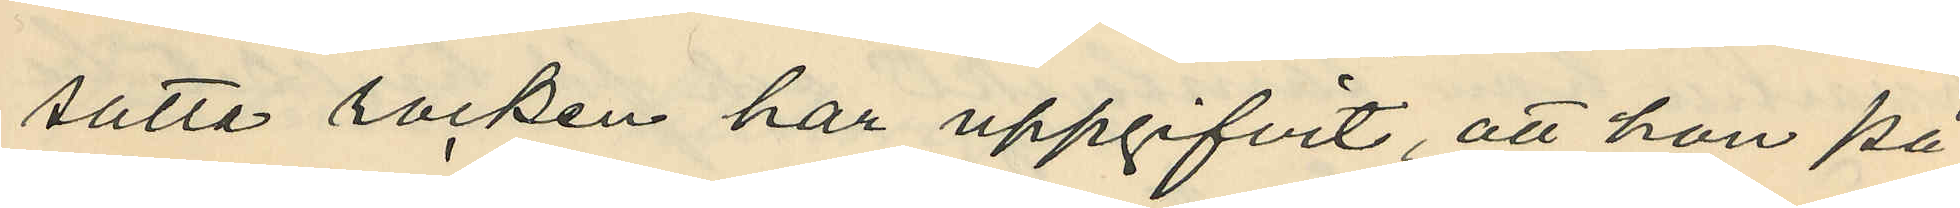satta rocken har uppgifvit, att hon på
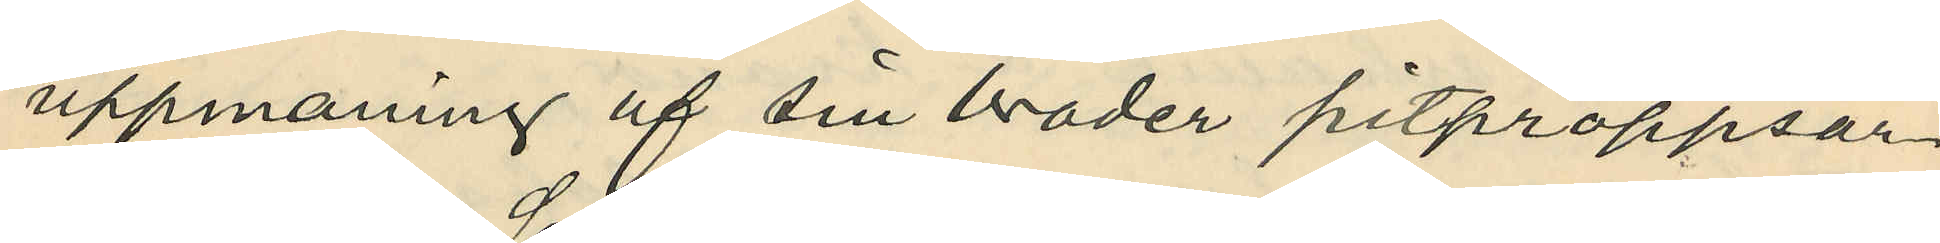uppmaning af sin broder pitproppsar¬
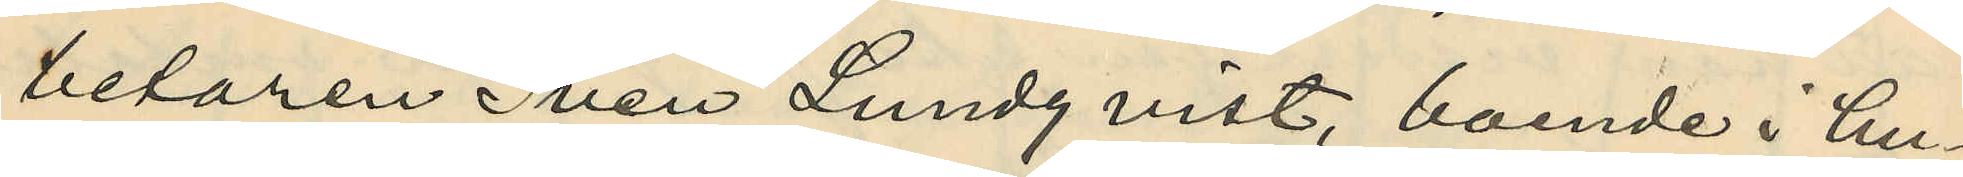betaren Sven Lundqvist, boende i hu¬
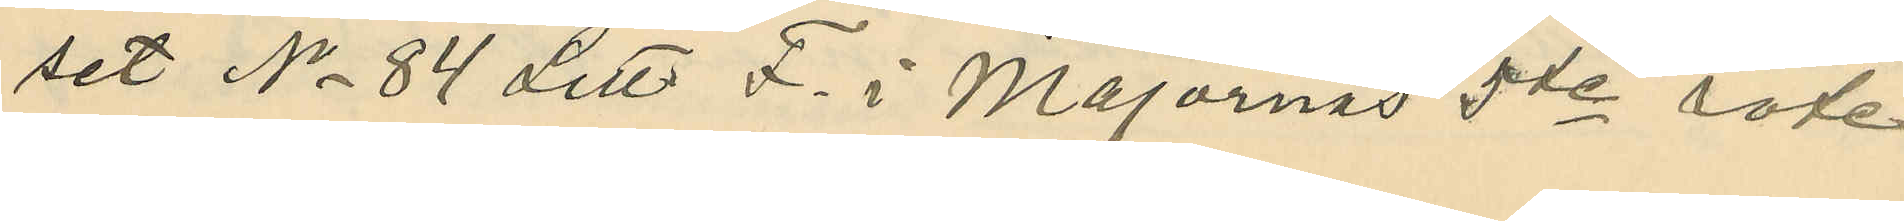set No 84 Litt. F. i Majornas 5te rote
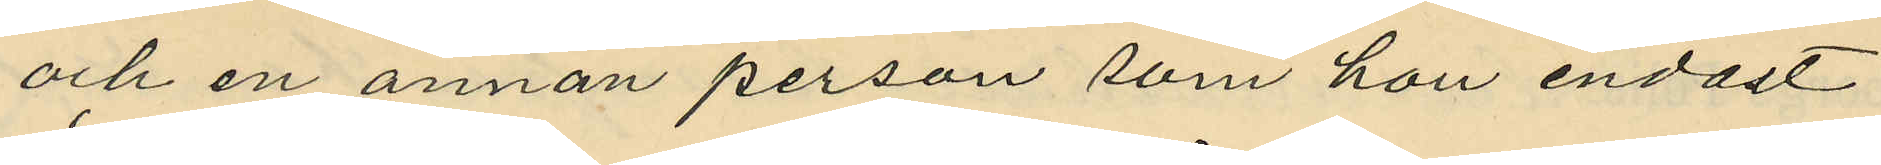och en annan person som hon endast
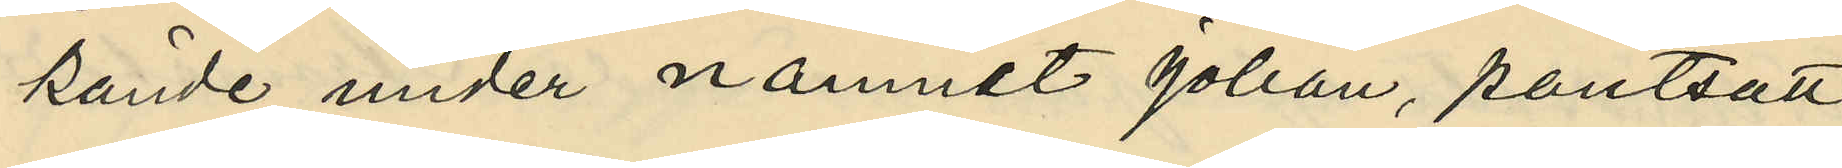kände under namnet Johan, pantsatt
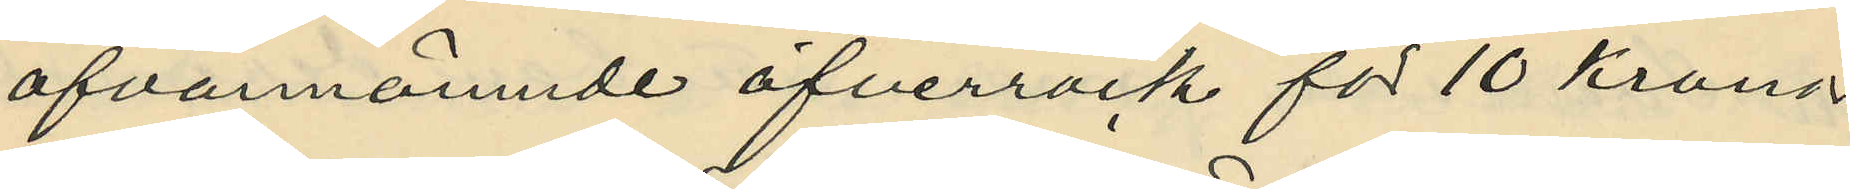ofvannämnde öfverrock för 10 Kronor
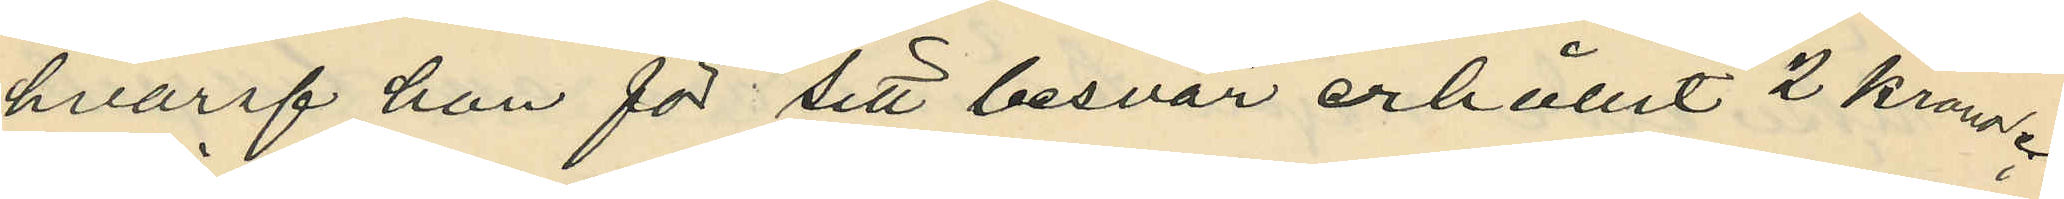hvaraf hon för sitt besvär erhållit 2 kronor.
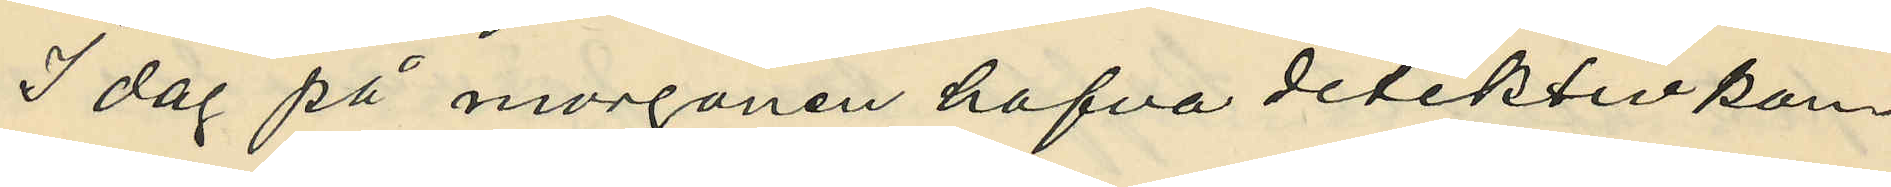I dag på morgonen hafva detektivkon¬
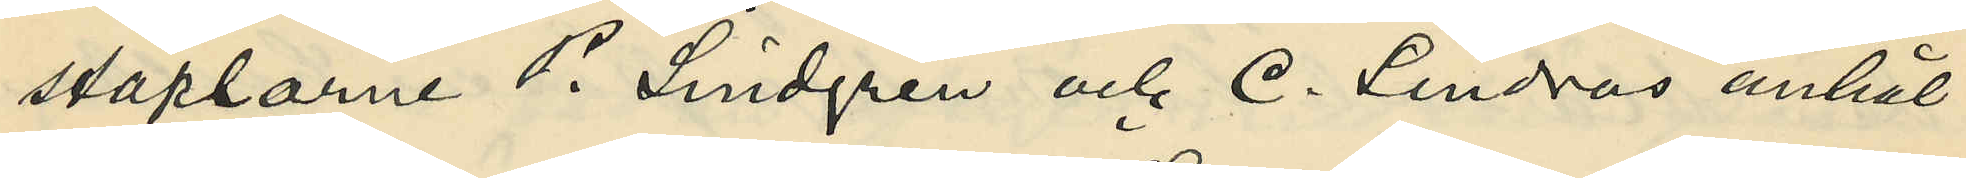staplarne P. Lindgren och C. Lindros anhål¬
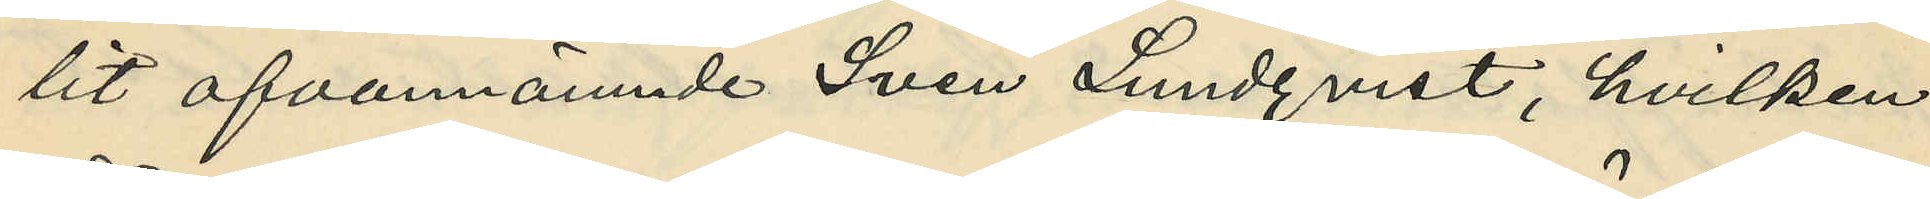lit ofvannämnde Sven Lundqvist, hvilken
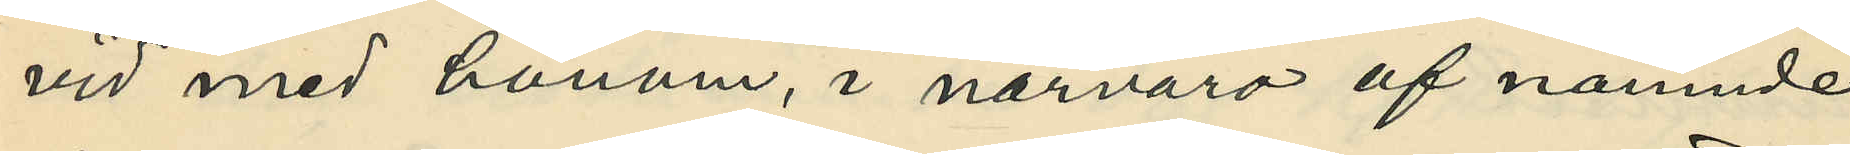vid med honom, i närvaro af nämnde
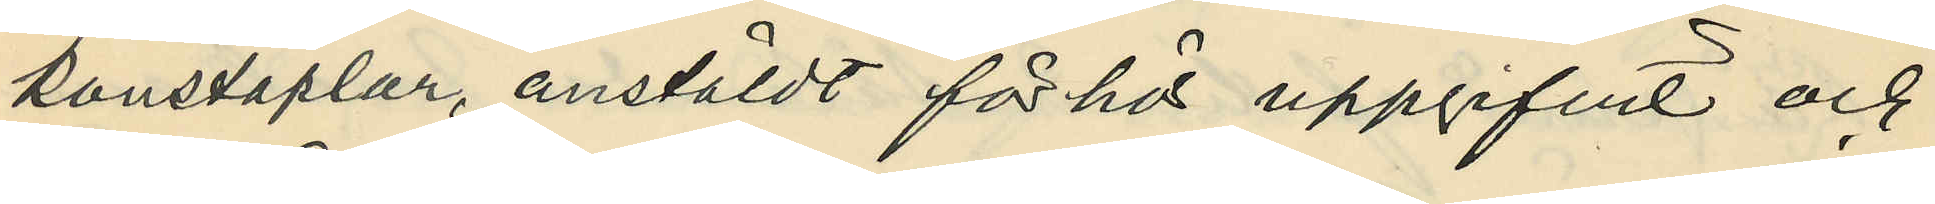konstaplar, anstäldt förhör uppgifvit och
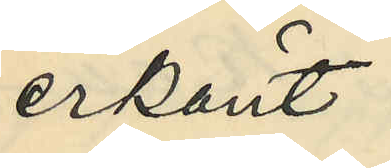erkänt:
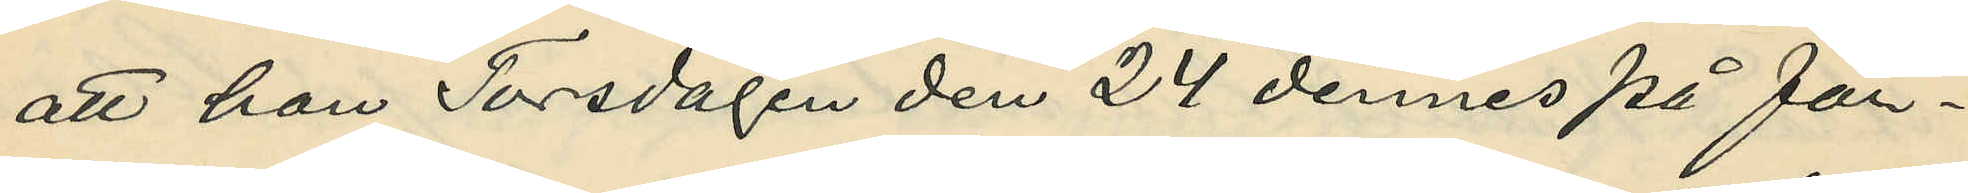att han Torsdagen den 24 dennes på för¬
